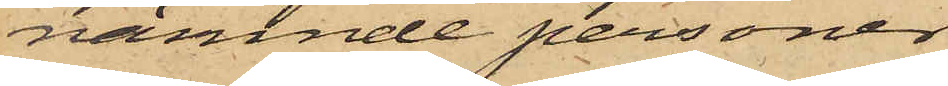nämnde personer
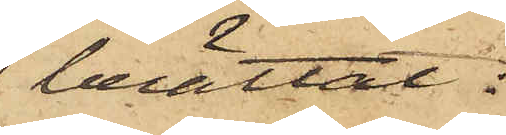berättat:
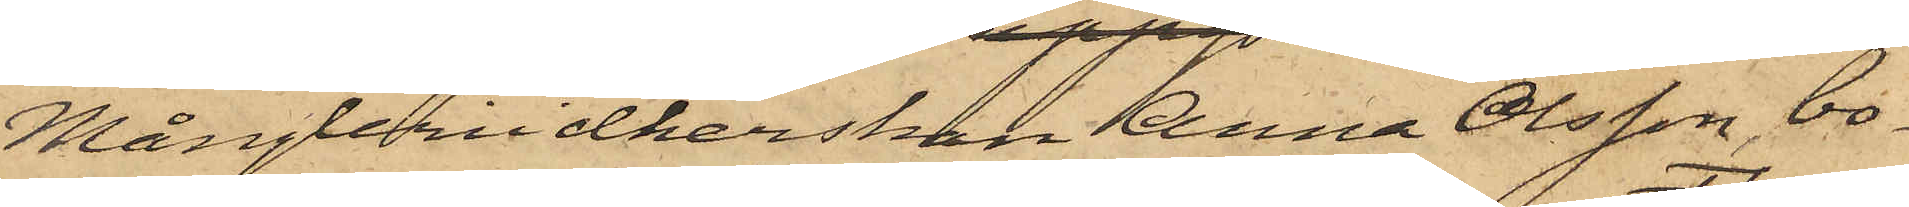Mångleriidkerskan Anna Olsson, bo¬
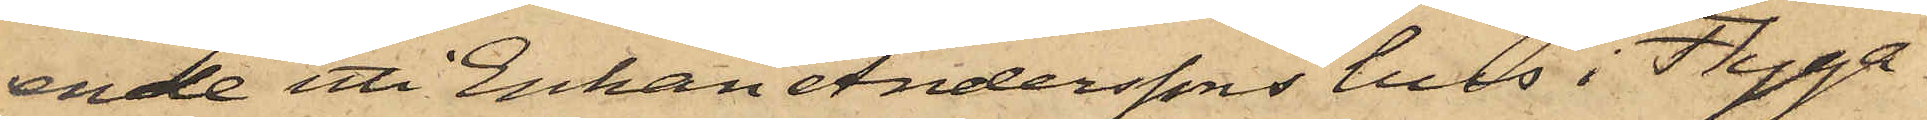ende uti Enkan Anderssons hus i Flyga¬
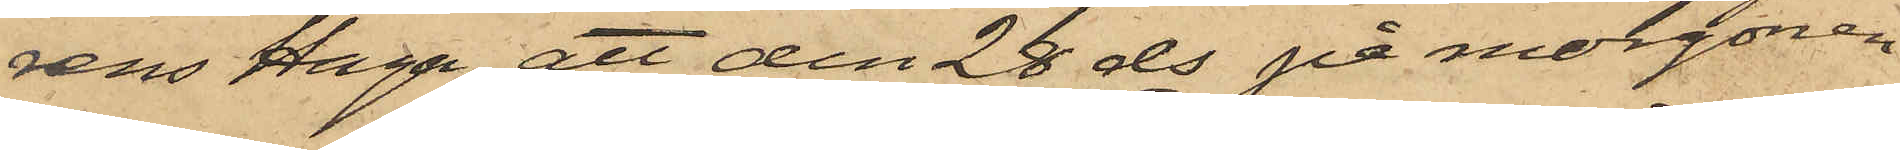rens Haga, att den 28 ds på morgonen
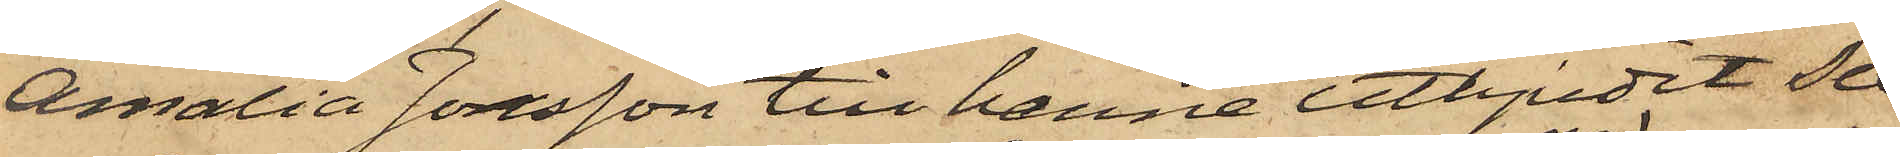Amalia Jonsson till henne utbjudit Sex
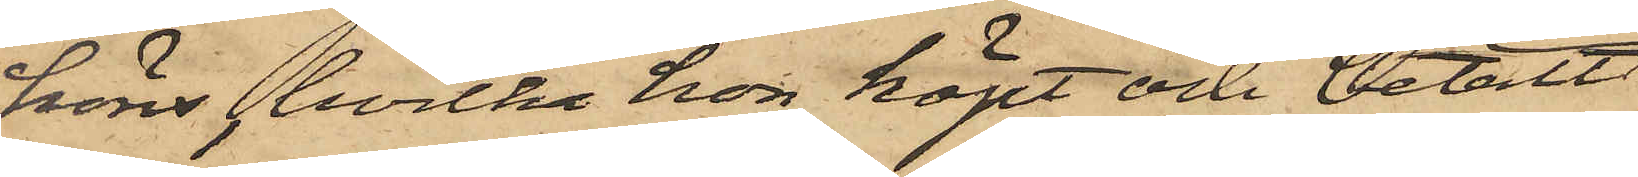höns, hvilka hon köpt och betalt
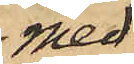med
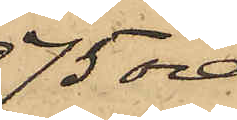75 öre
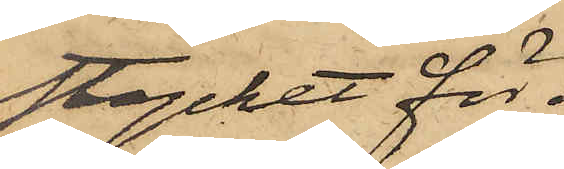stycket för
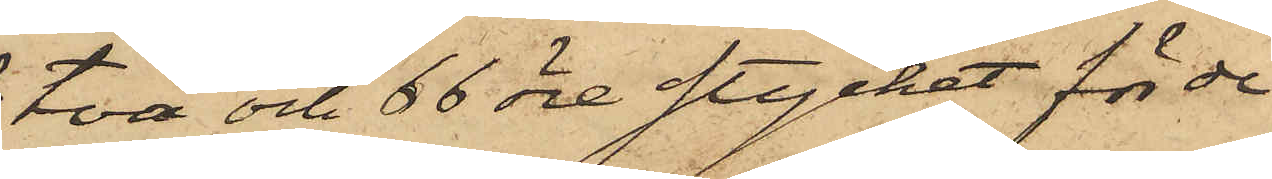två och 66 öre stycket för de
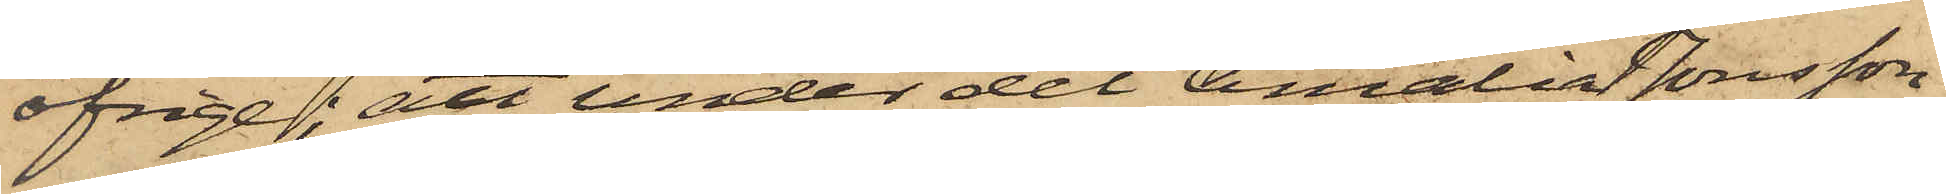öfrige; att under det Amalia Jonsson
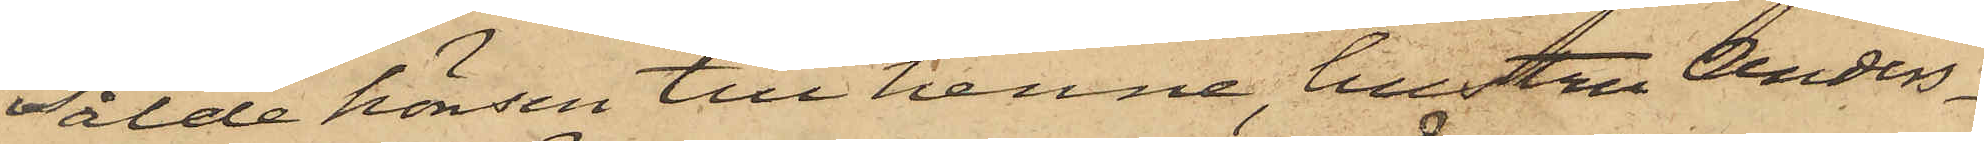sålde hönsen till henne, hustru Anders¬
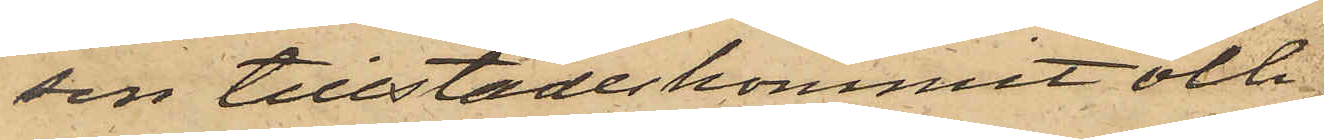sin tillstädeskommit och
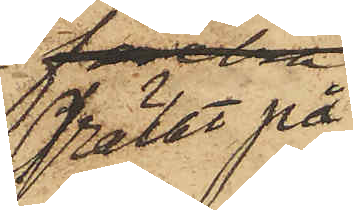grälat på
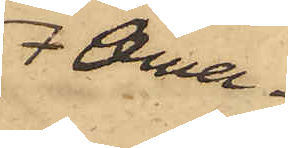Ama¬
